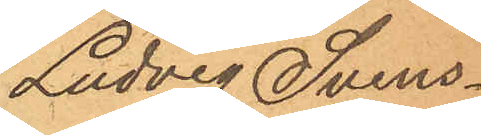Ludvig Svens¬
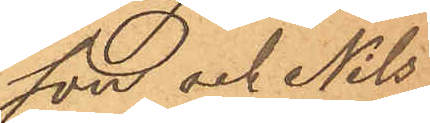son och Nils
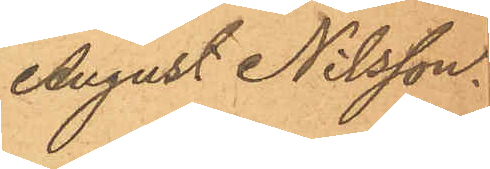August Nilsson.
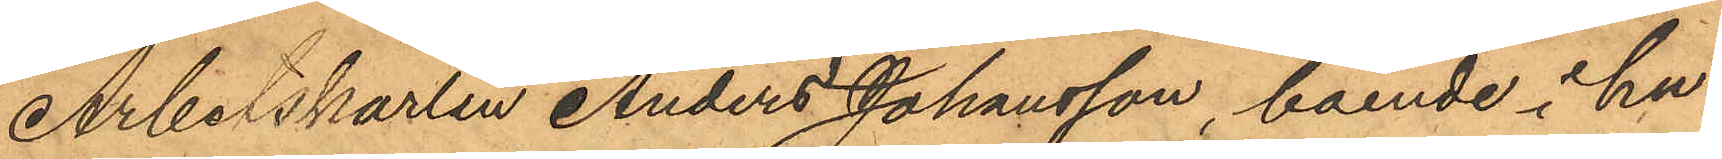Arbetskarlen Anders Johansson, boende i hu¬
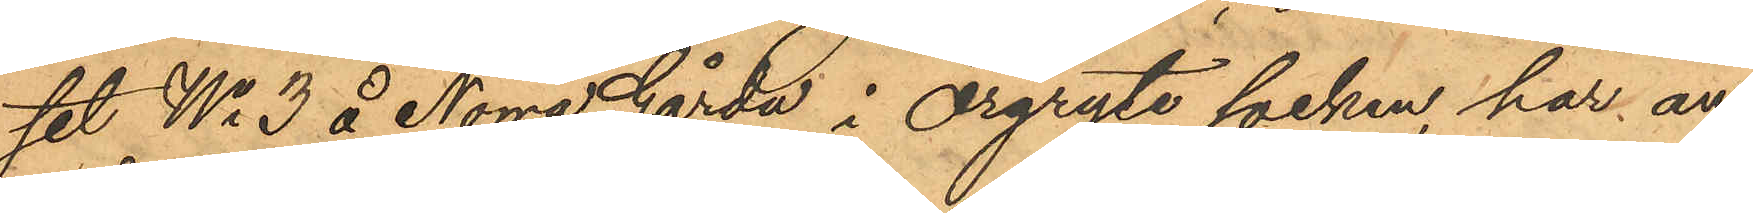set No 3 å Norra Gårda i Örgryte socken, har an¬
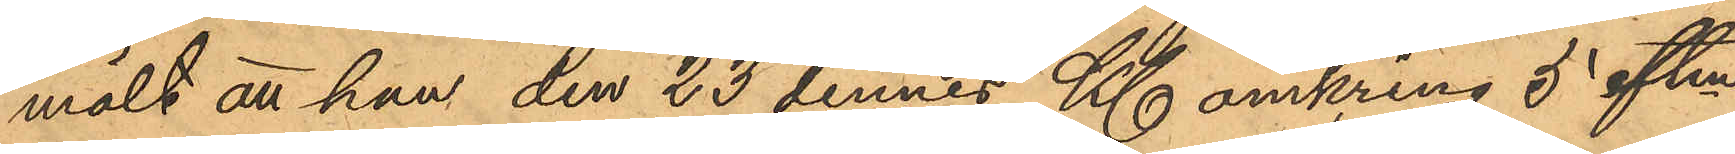mält att han den 23 dennes Kl. omkring 5 eftm
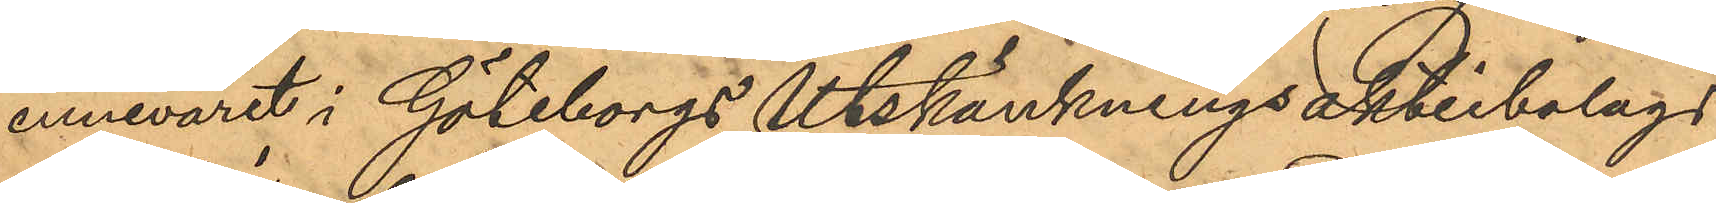innevarit i Göteborgs Utskänkningsaktiebolags
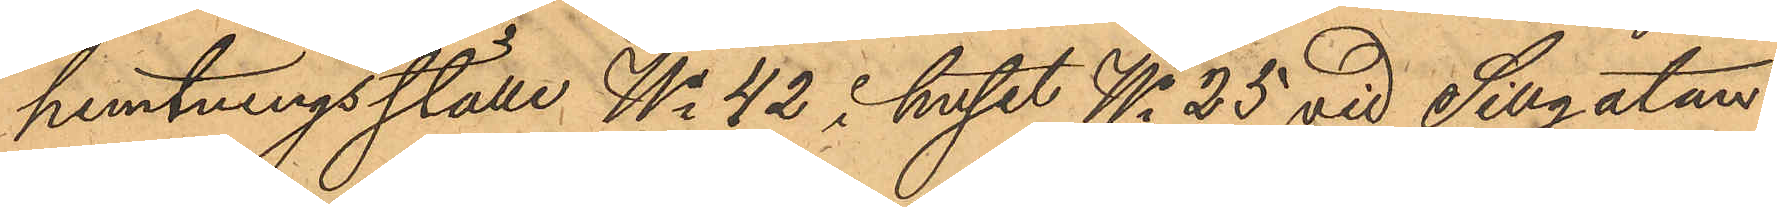hemtningsställe No 42 i huset No 25 vid Sillgatan
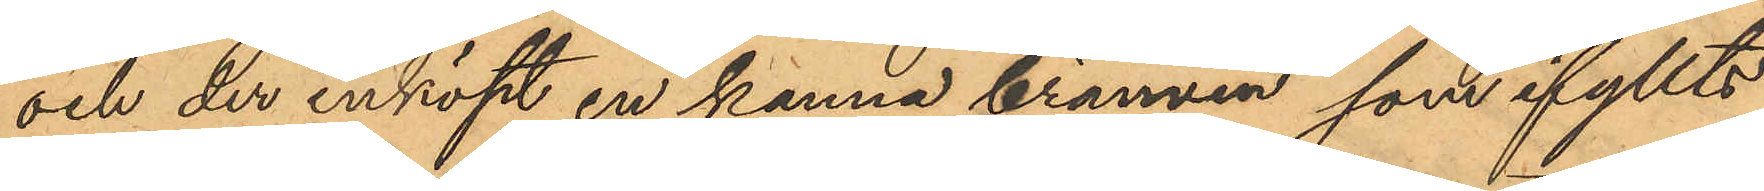och der inköpt en kanna brännvin som ifyllts
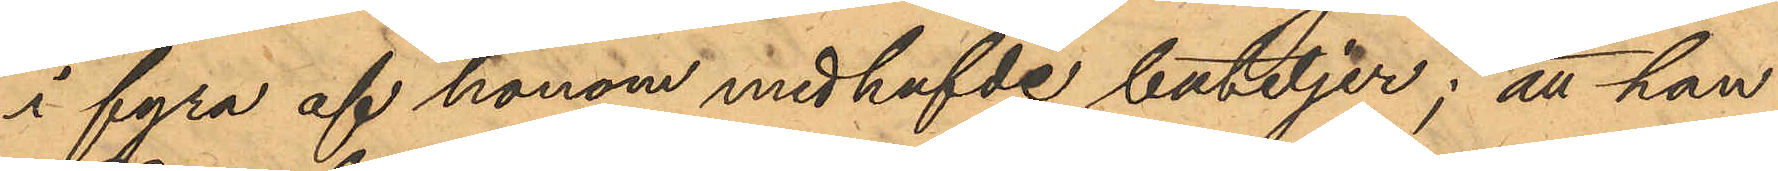i fyra af honom medhafvde buteljer; att han
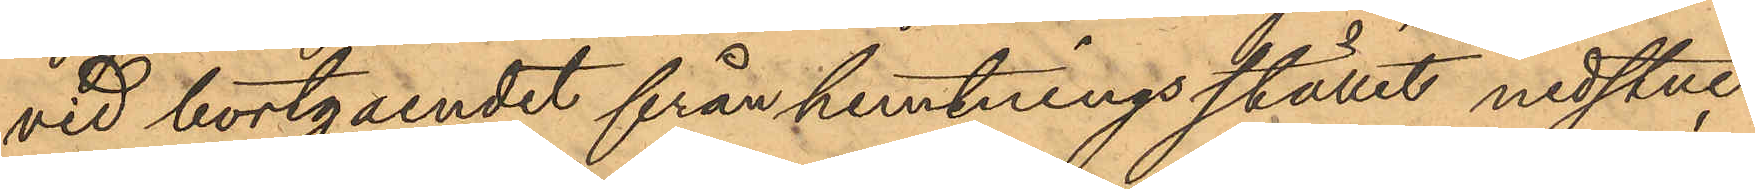vid bortgaendet från hemtningsstället nedstuc¬
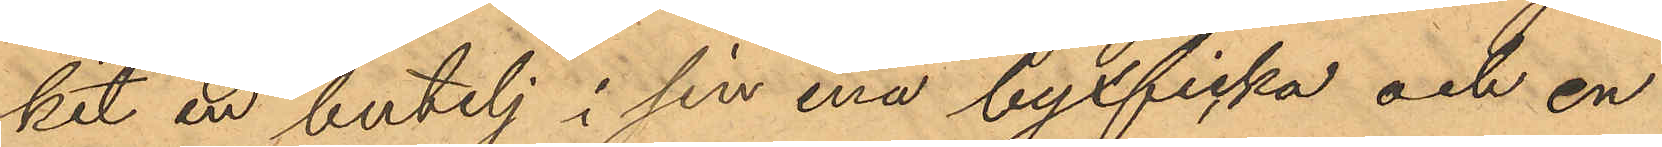kit en butelj i sin ena byxficka och en
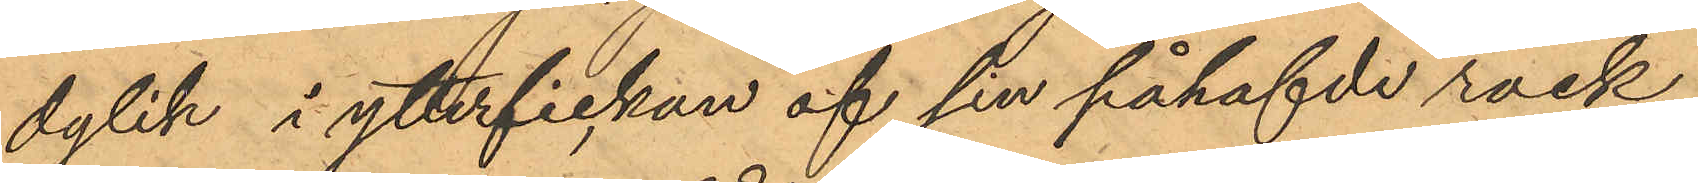dylik i ytterfickan af sin påhafvde rock,
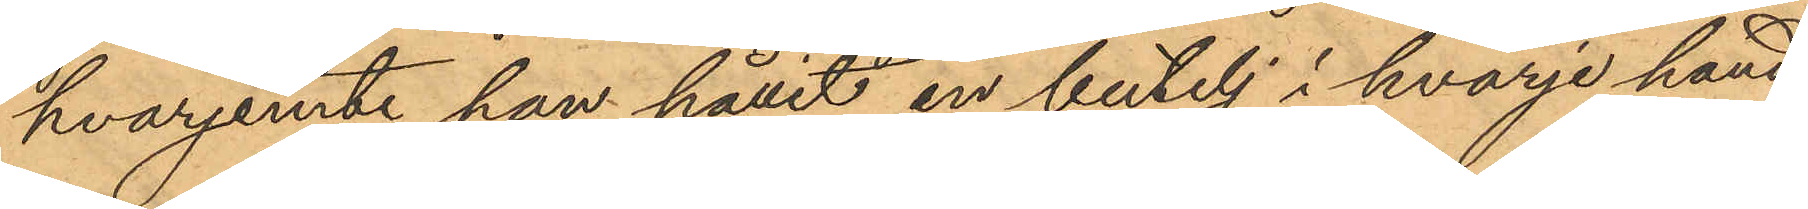hvarjemte han hållit en butelj i hvarje hand;
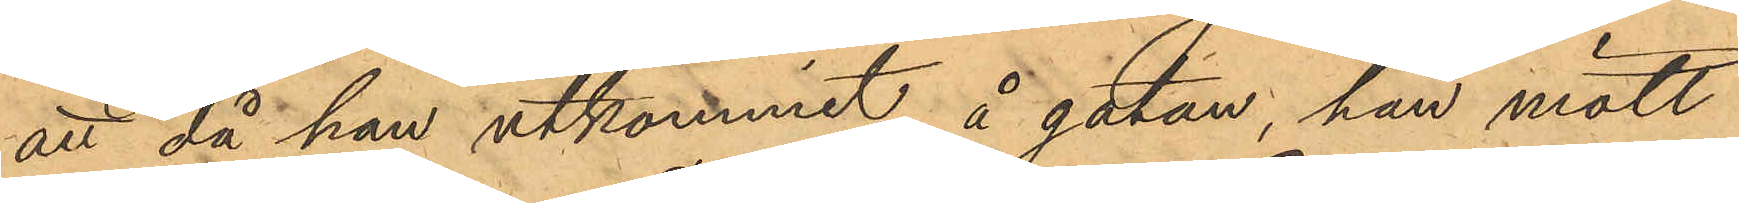att då han utkommit å gatan, han mött
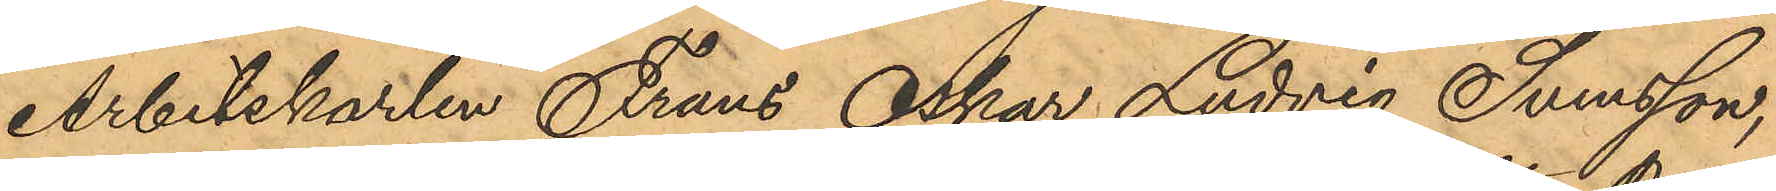Arbetskarlen Frans Oskar Ludvig Svensson,
